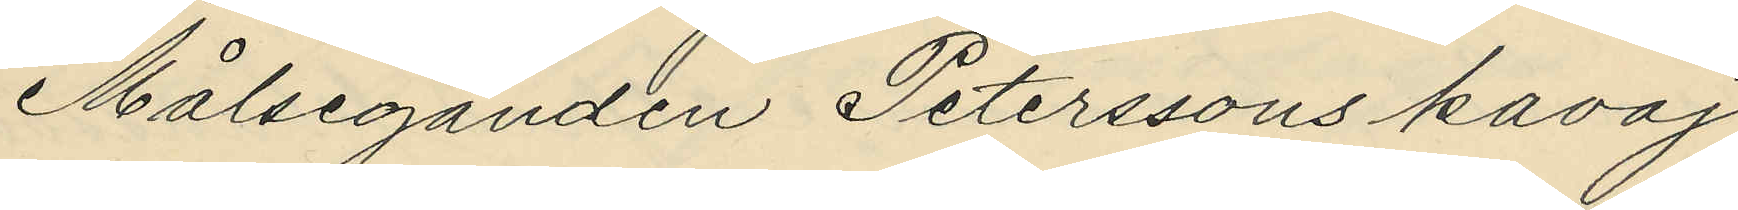Målseganden Peterssons kavaj
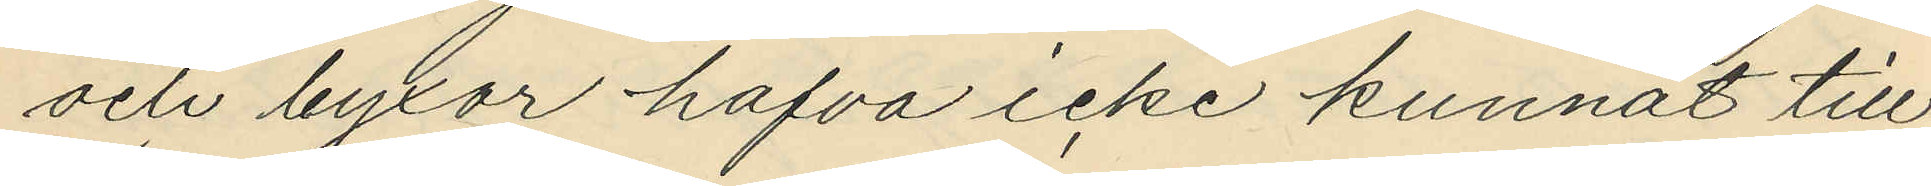och byxor hafva icke kunnat till¬
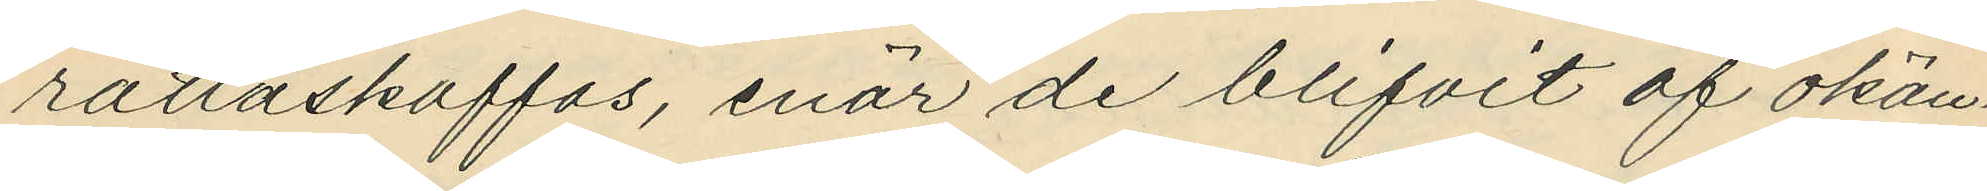rättaskaffas, enär de blifvit af okän¬
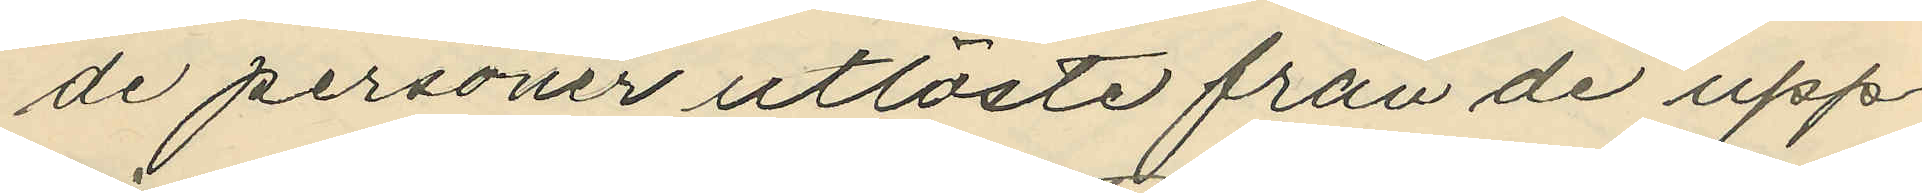de personer utlöste från de upp¬
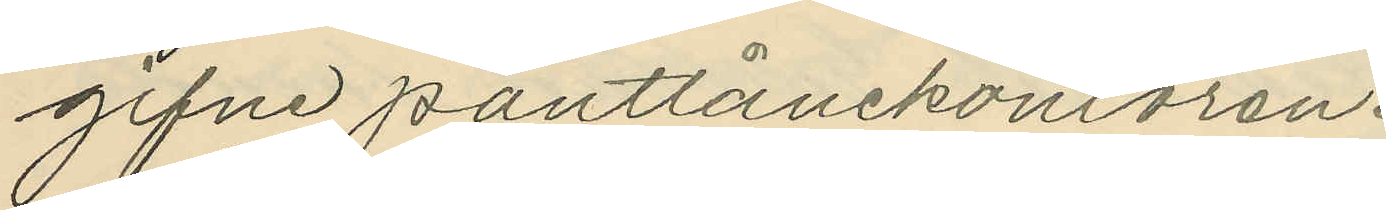gifne pantlånekontoren.
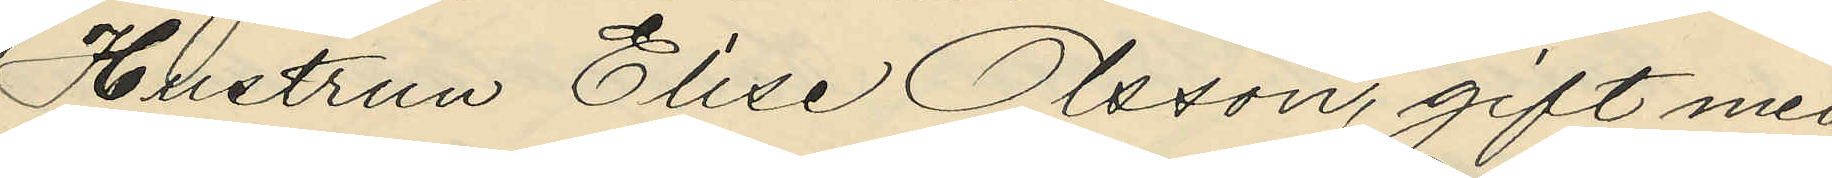Hustrun Elise Olsson, gift med
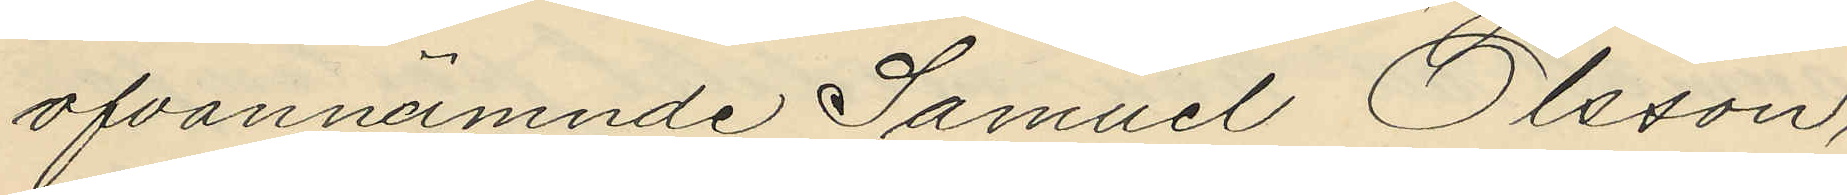ofvannämnde Samuel Olsson,
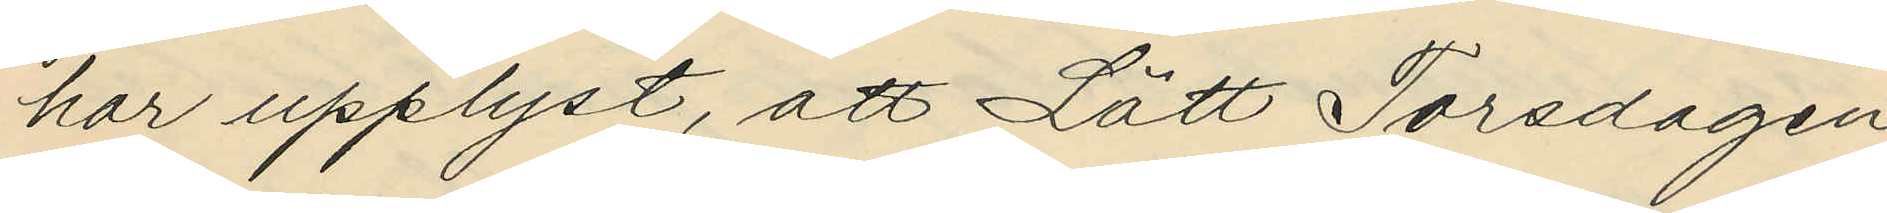har upplyst, att Lätt Torsdagen
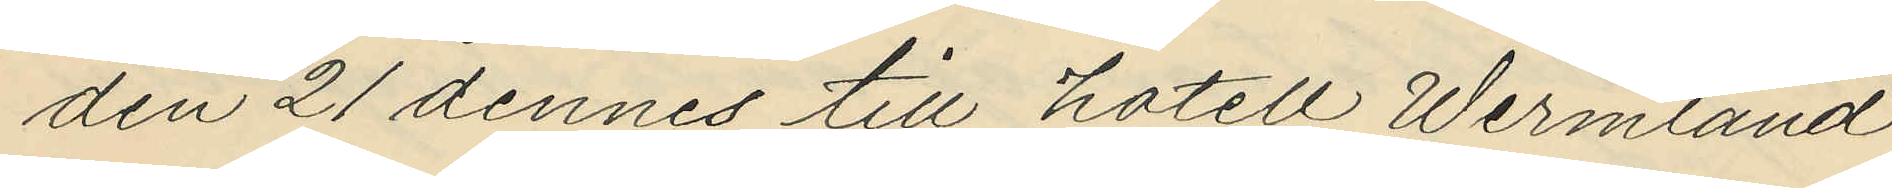den 21 dennes till hotell Wermland
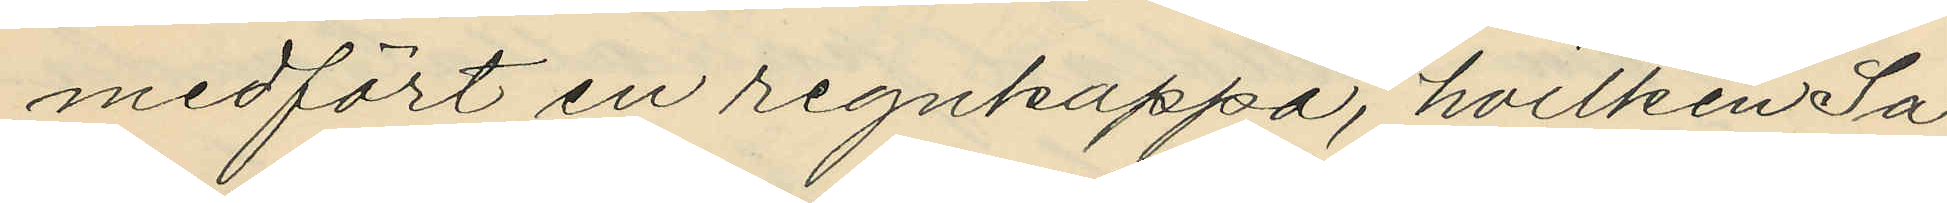medfört en regnkappa, hvilken Sa¬
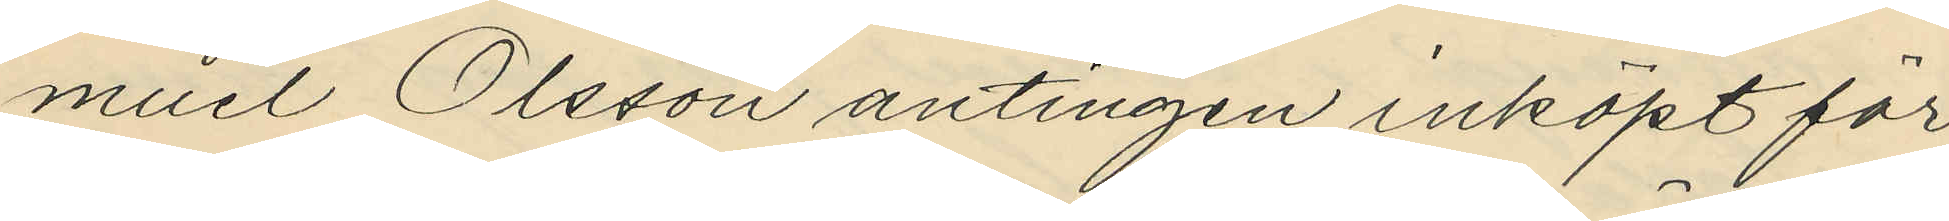muel Olsson antingen inköpt för
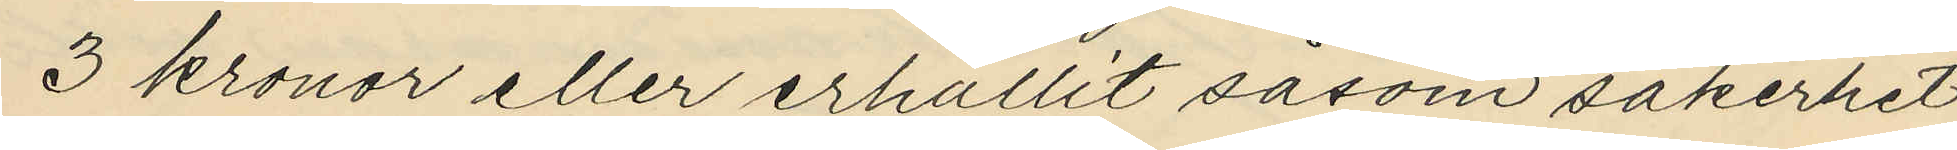3 kronor eller erhållit såsom säkerhet
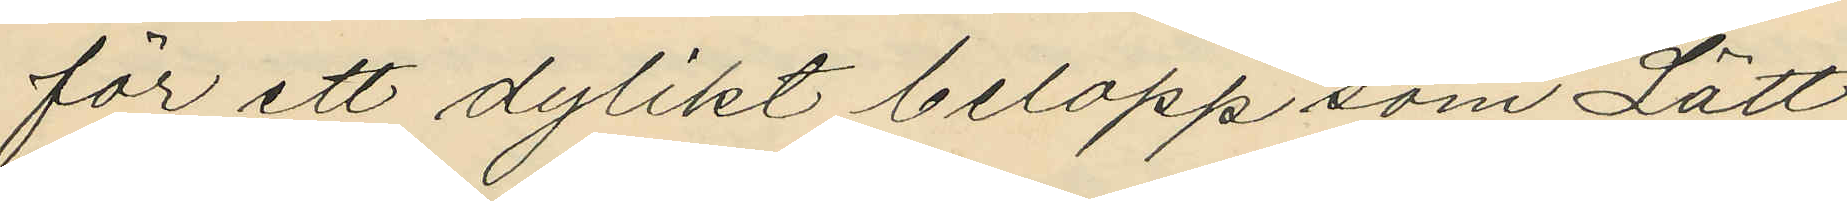för ett dylikt belopp som Lätt
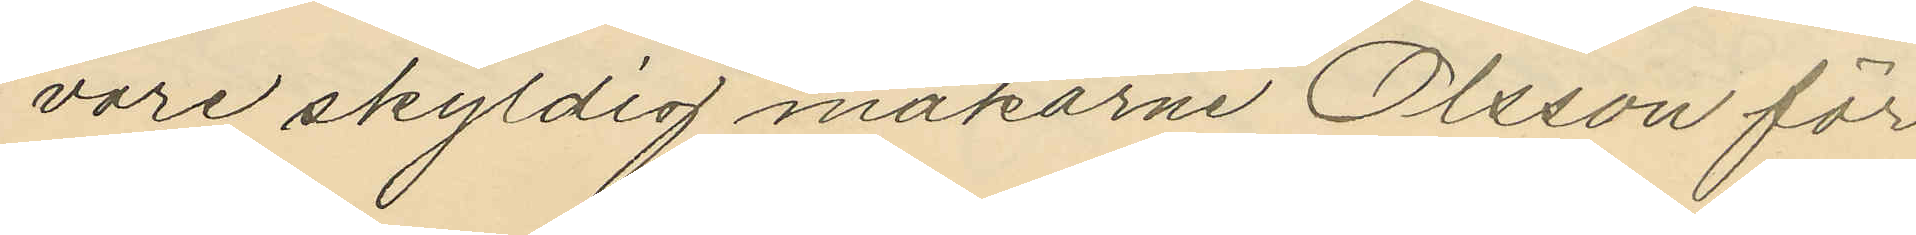vore skyldig makarne Olsson för
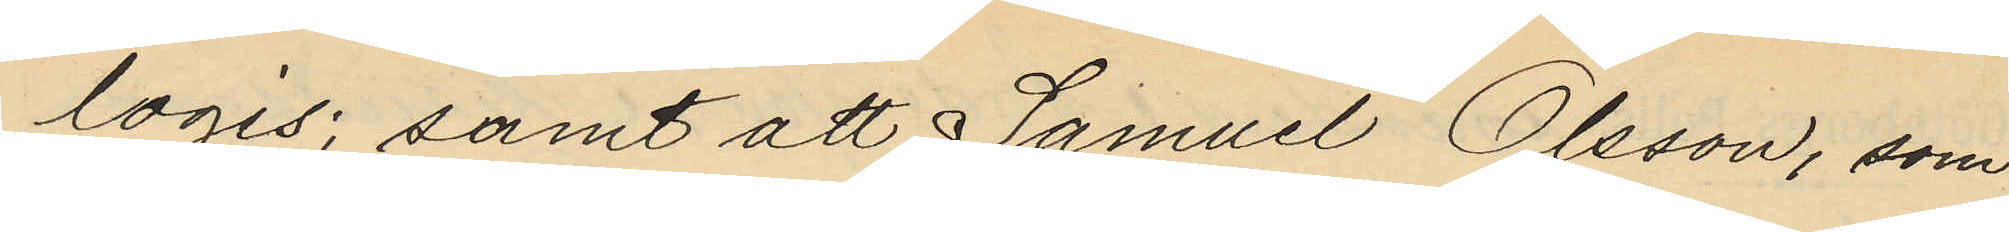logis; samt att Samuel Olsson, som
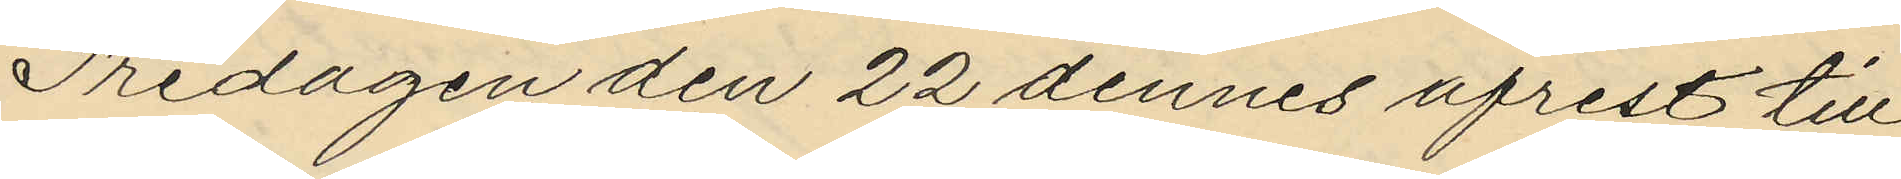Fredagen den 22 dennes afrest till
